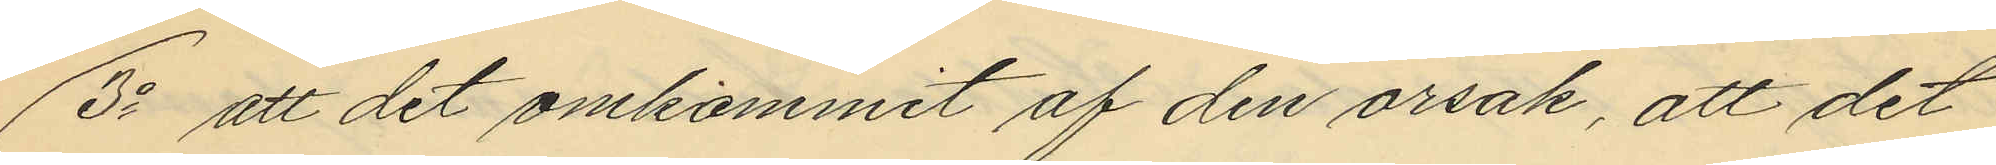3o att det omkommit af den orsak, att det
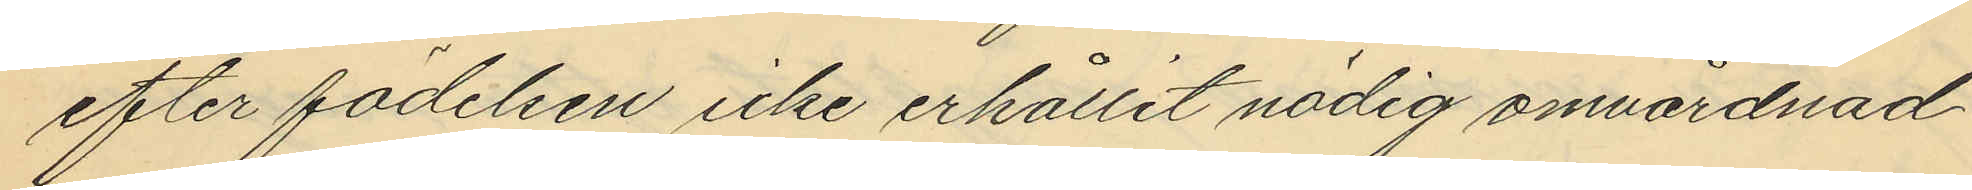efter födelsen icke erhållit nödig omvårdnad.
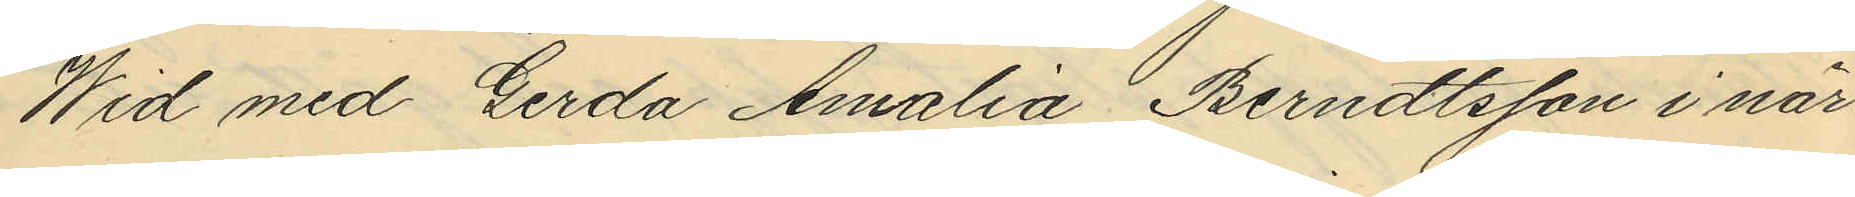Wid med Gerda Amalia Berndtsson i när¬
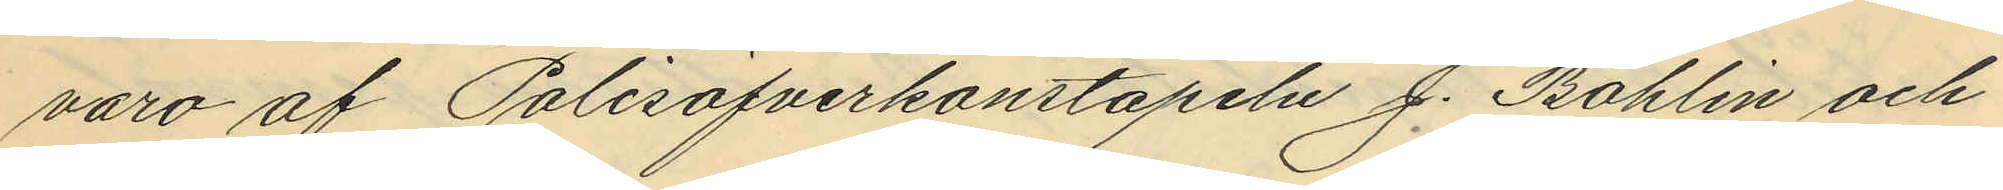varo af Polisöfverkonstapeln J. Bohlin och
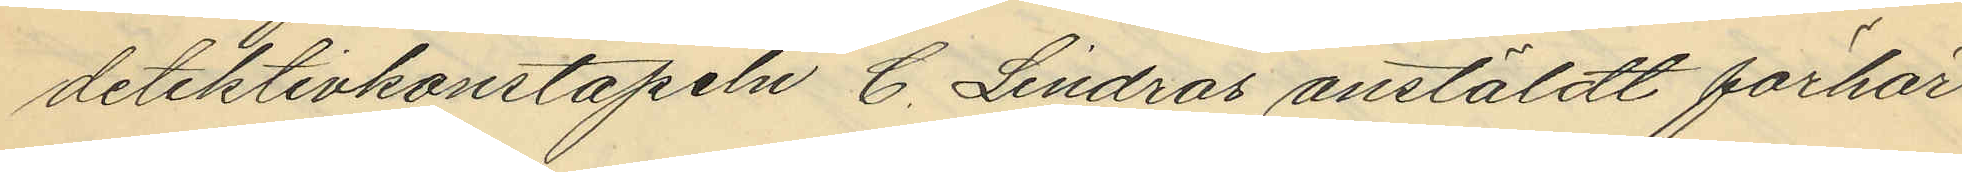detektivkonstapeln C. Lindros anstäldt förhör
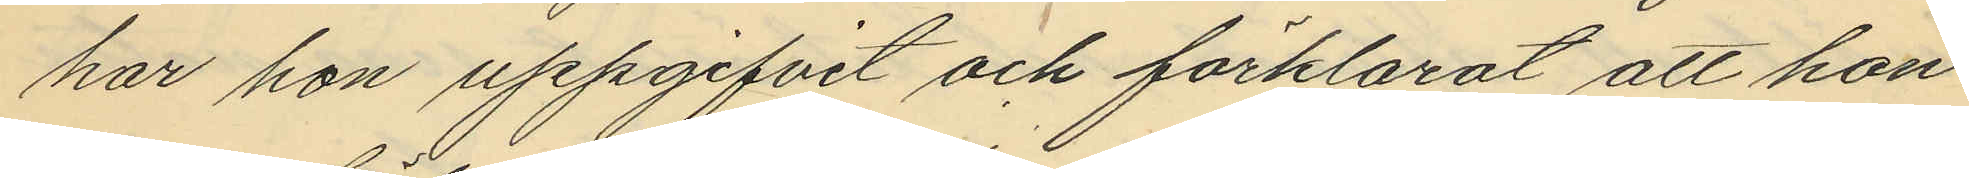har hon uppgifvit och förklarat att hon
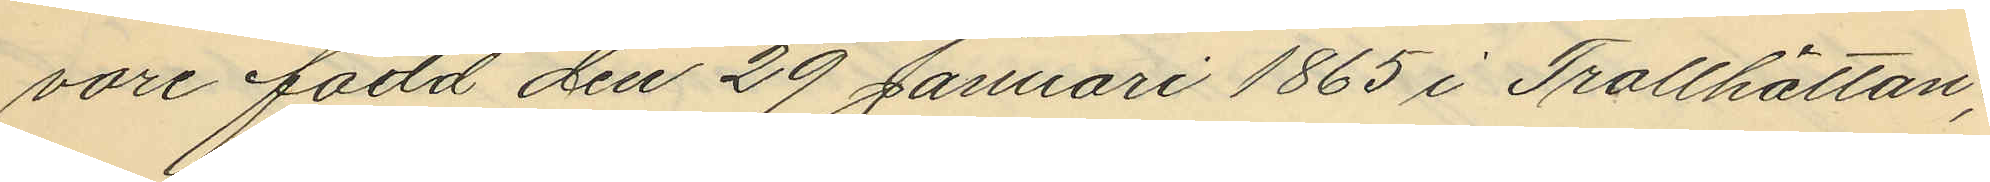vore född den 29 Januari 1865 i Trotthättan;
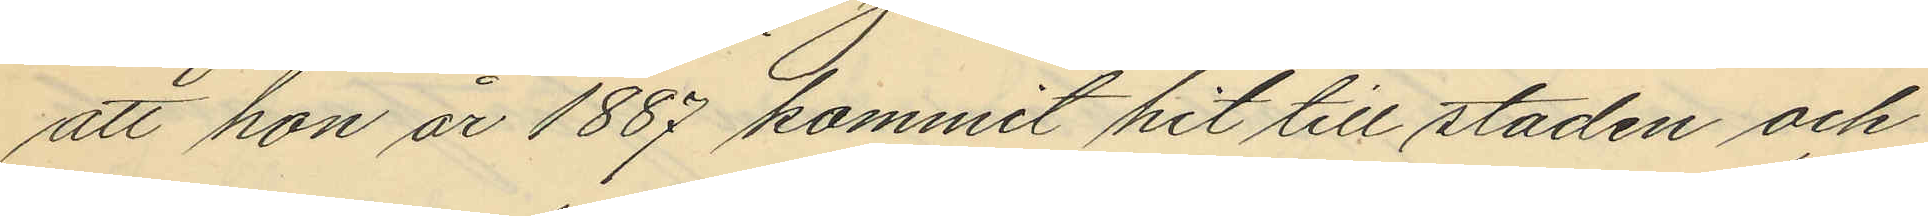att hon år 1887 kommit hit till staden och
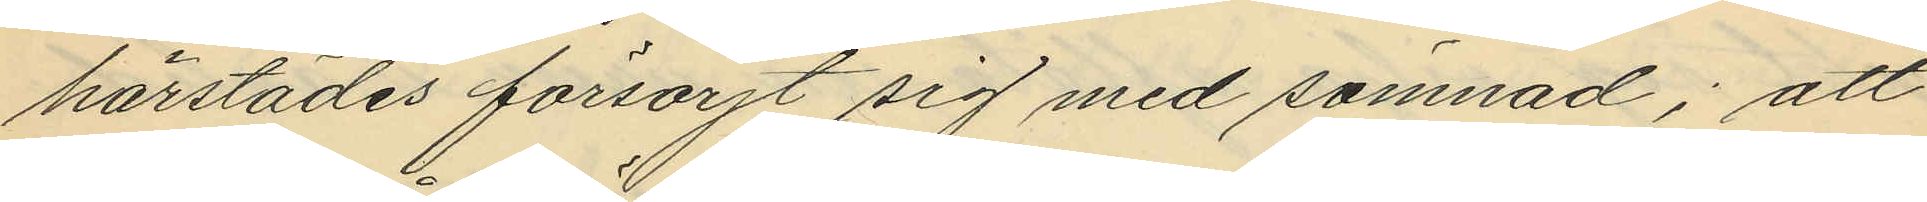härstädes försörjt sig med sömnad; att
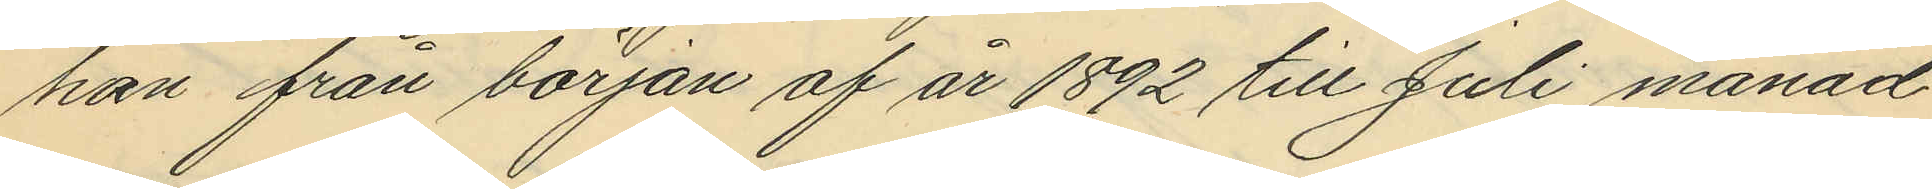hon från början af år 1892 till Juli månad
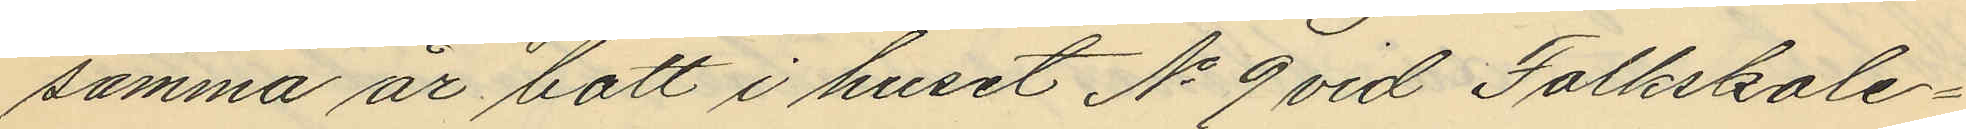samma år bott i huset No 9 vid Folkskole¬
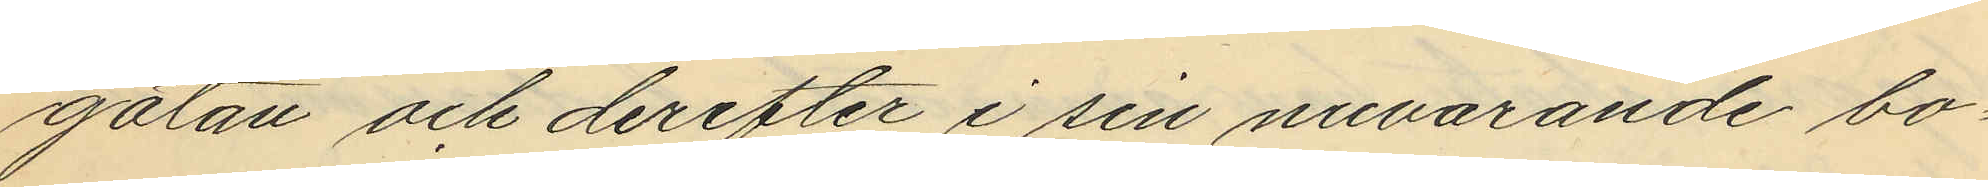gatan och derefter i sin nuvarande bo¬
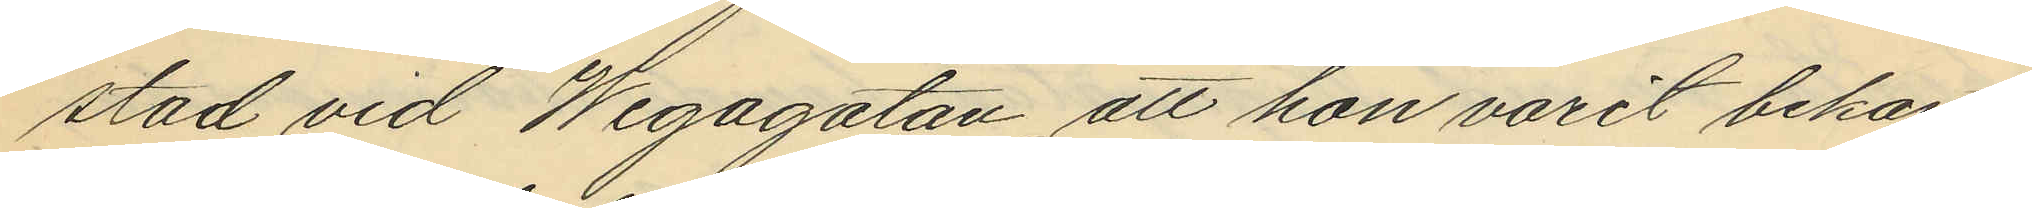stad vid Wegagatan, att hon varit bekant
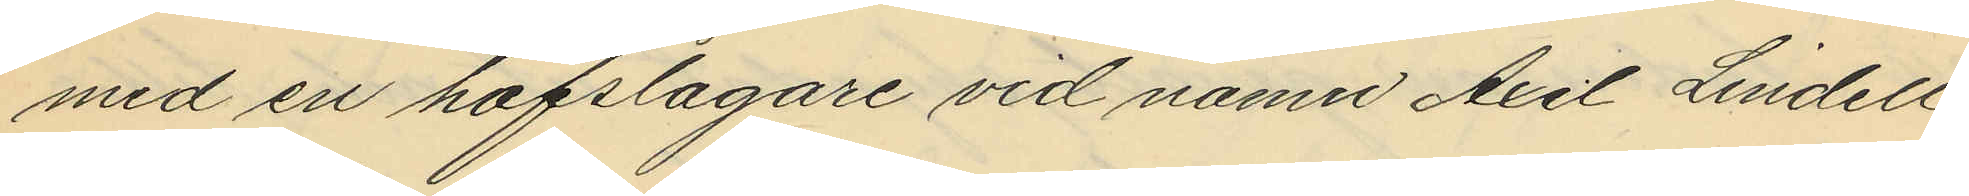med en hofslagare vid namn Axel Lindell,
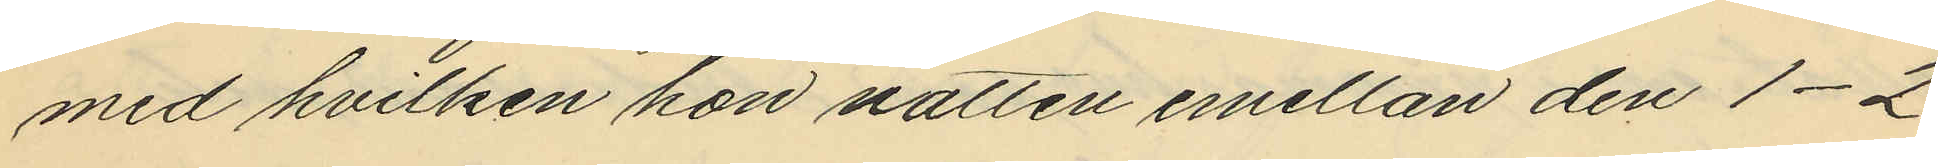med hvilken hon natten emellan den 1-2
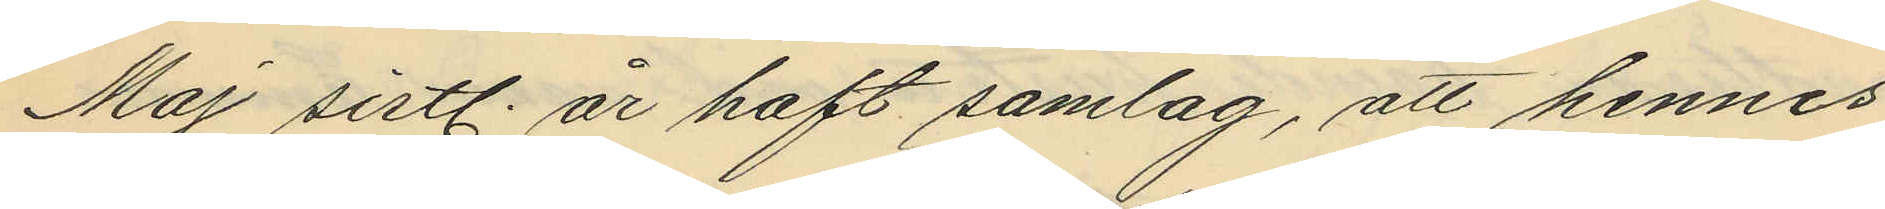Maj sistl. år haft samlag, att hennes
